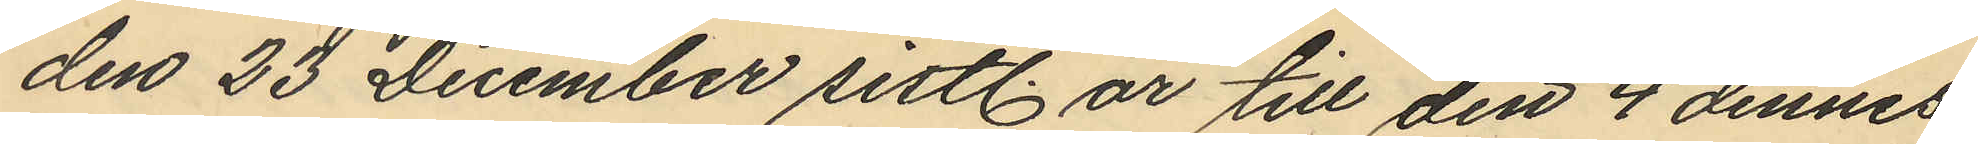den 23 December sistl. år till den 4 dennes
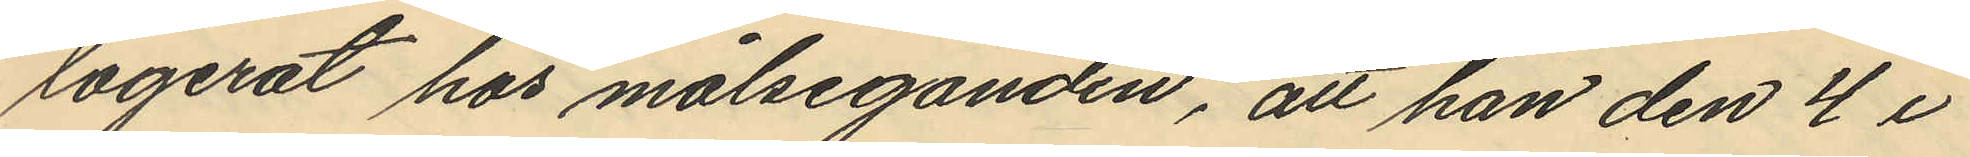logerat hos målseganden, att han den 4 i
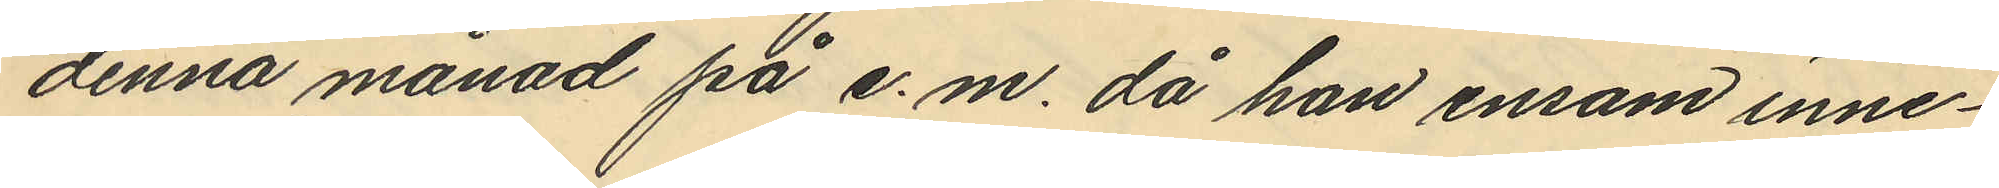denna månad på e.m. då han ensam inne¬
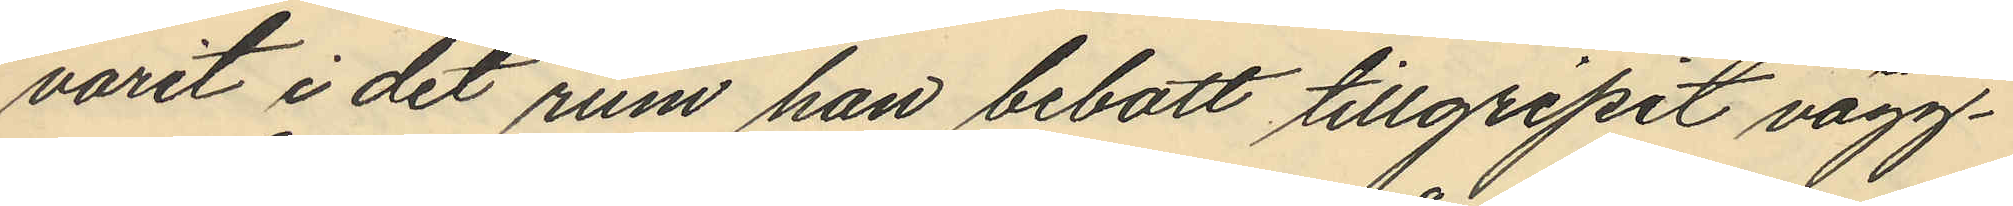varit i det rum han bebott tillgripit vägg¬
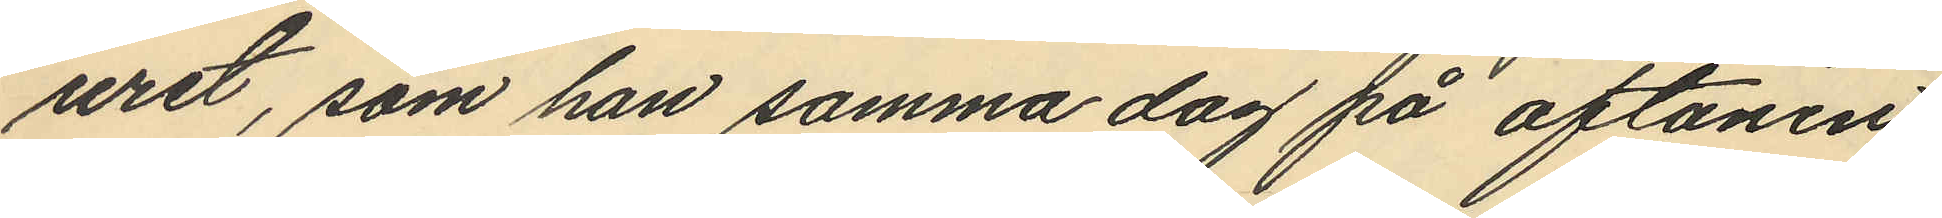uret, som han samma dag på aftonen
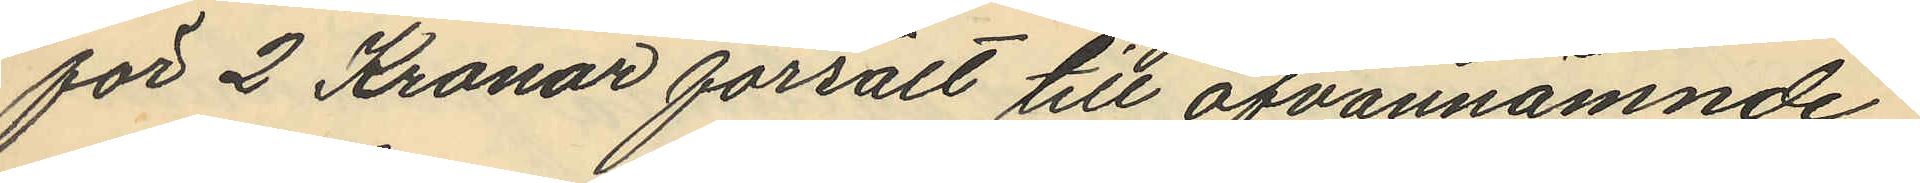för 2 Kronor försålt till ofvannämnde
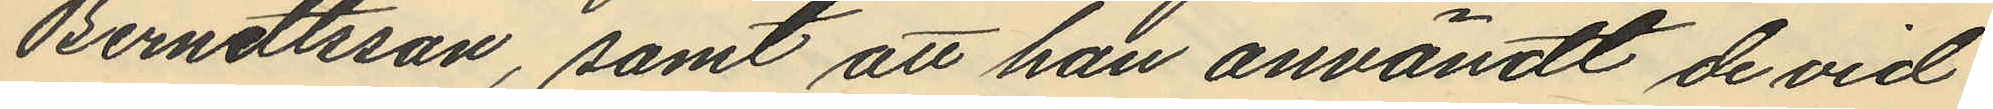Berndtsson, samt att han användt de vid
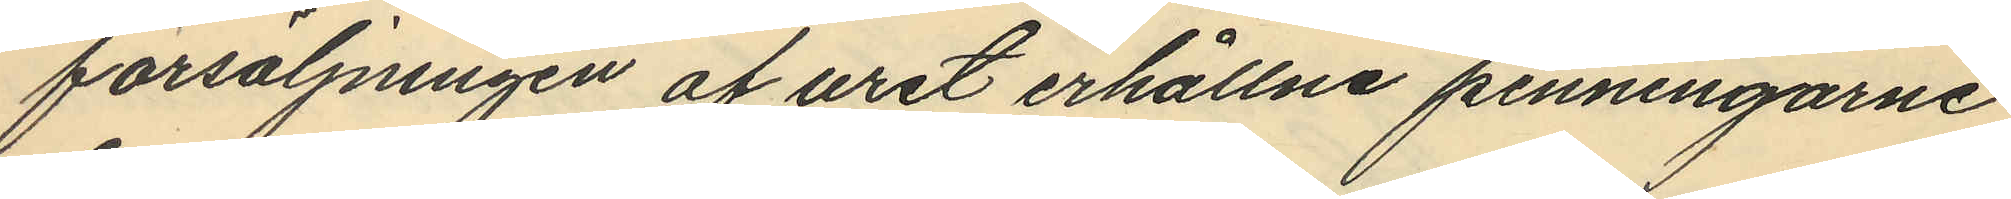försäljningen af uret erhållne penningarne
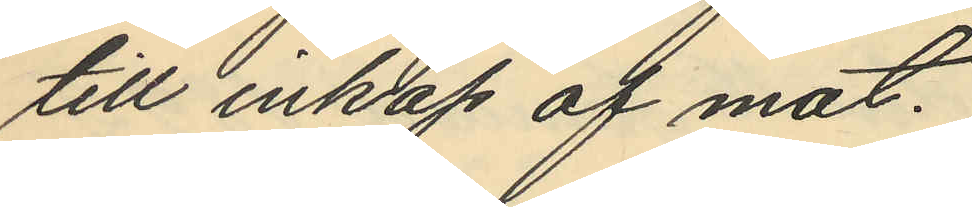till inköp af mat.
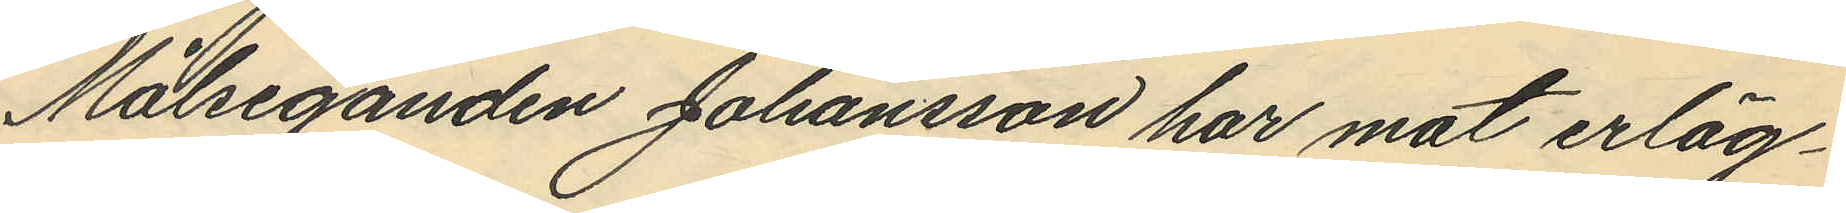Målseganden Johansson har mot erläg¬
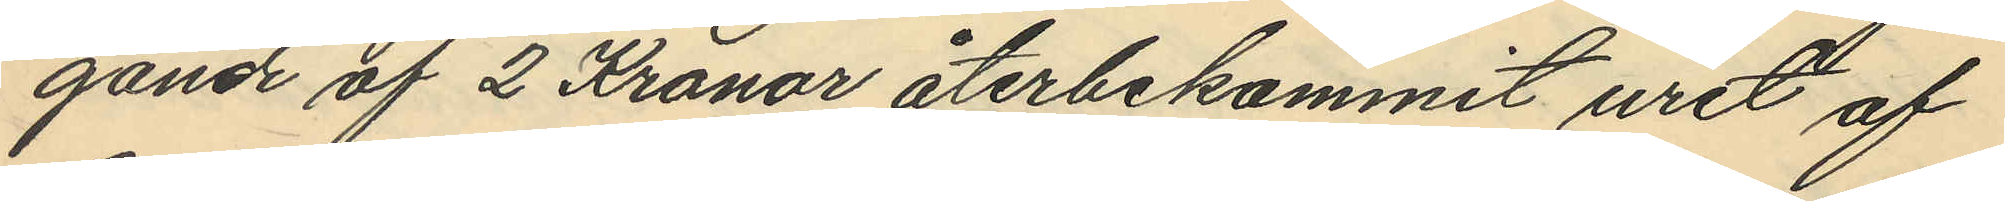gande af 2 Kronor återbekommit uret af
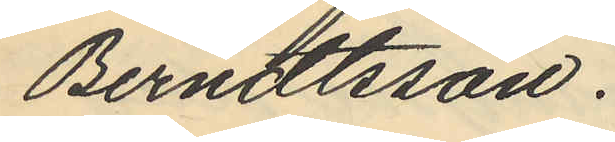Berndtsson.
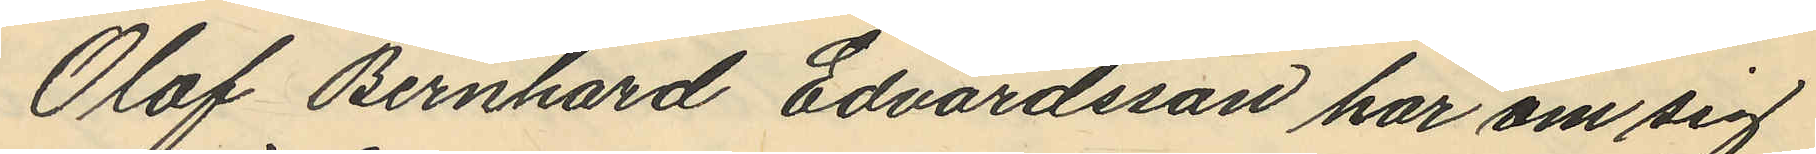Olof Bernhard Edvardsson har om sig
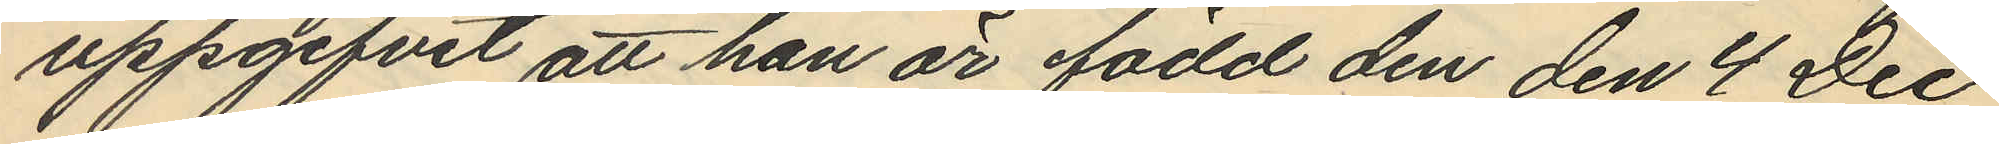uppgifvit att han är född den den 4 Dec
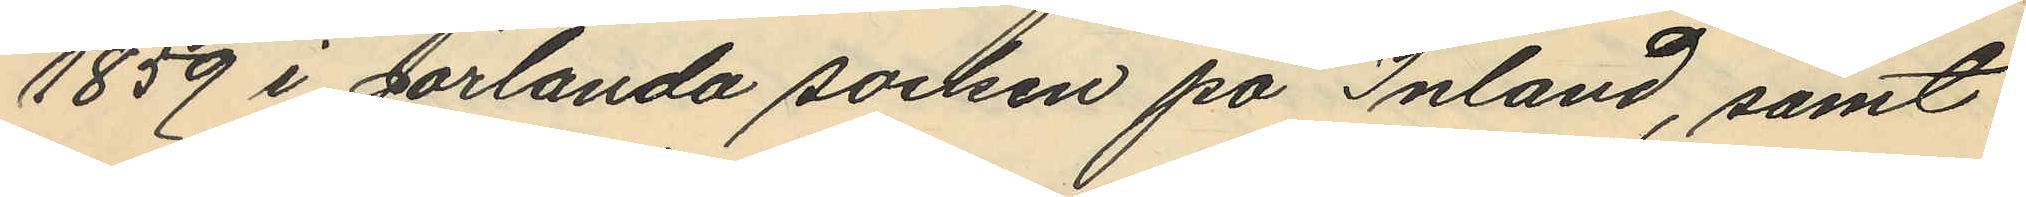1859 i Jörlanda socken på Inland, samt
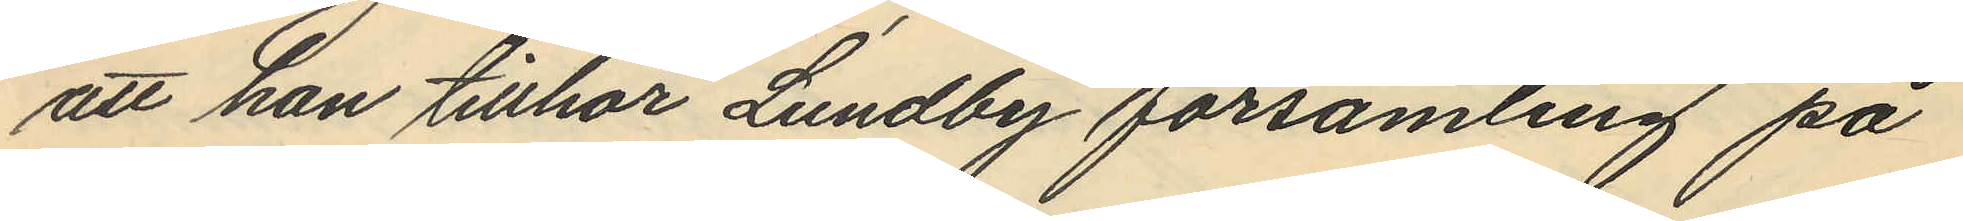att han tillhör Lundby församling på
